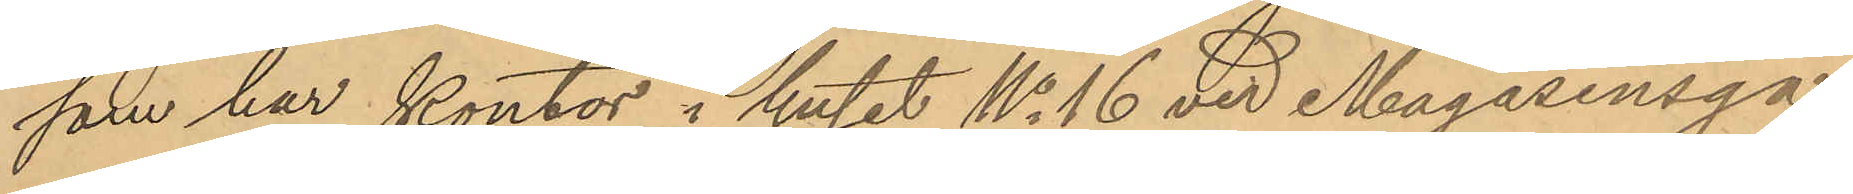som har kontor i huset No 16 vid Magasinsga¬
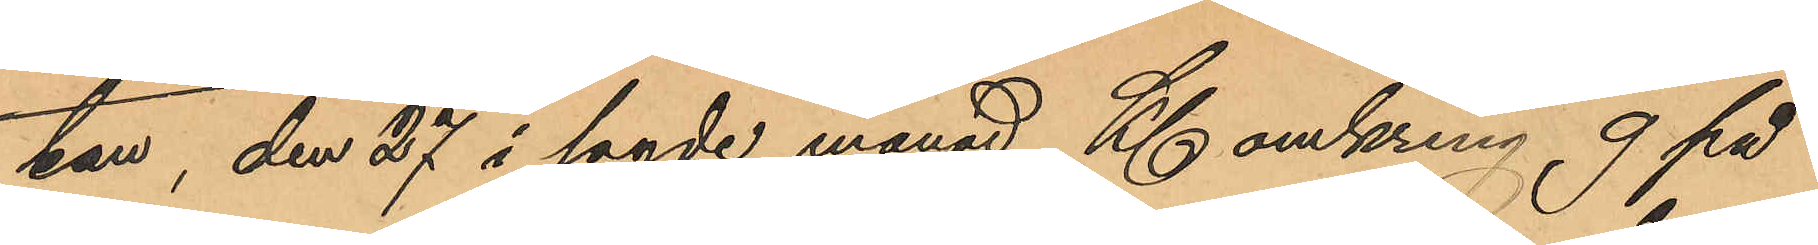tan, den 27 i sagde månad Kl. omkring 9 på
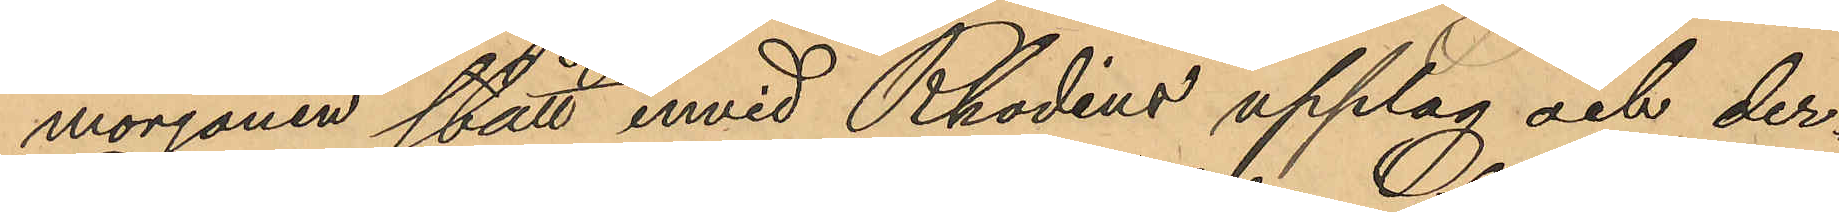morgonen stått invid Rhodins upplag och der¬
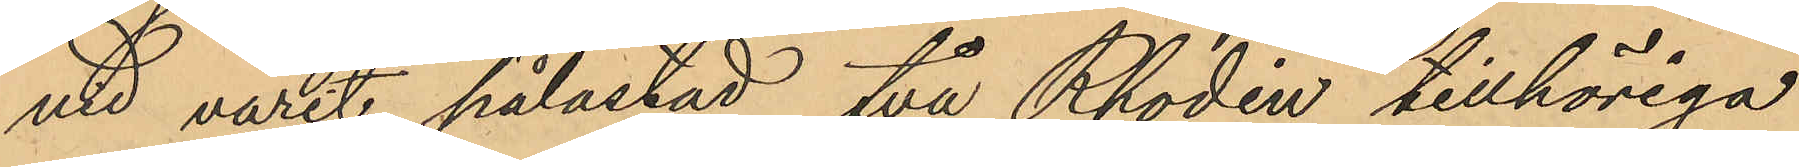vid varit pålastad, två Rhodin tillhöriga
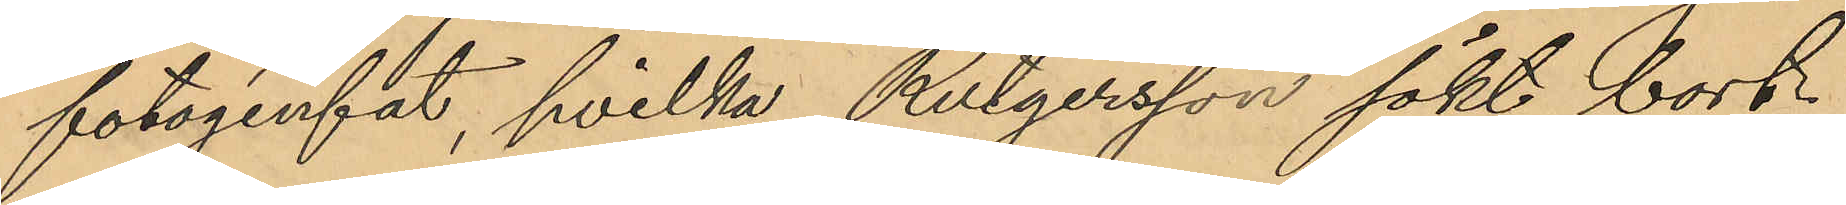fotogénfat, hvilka Rutgersson sökt bort¬
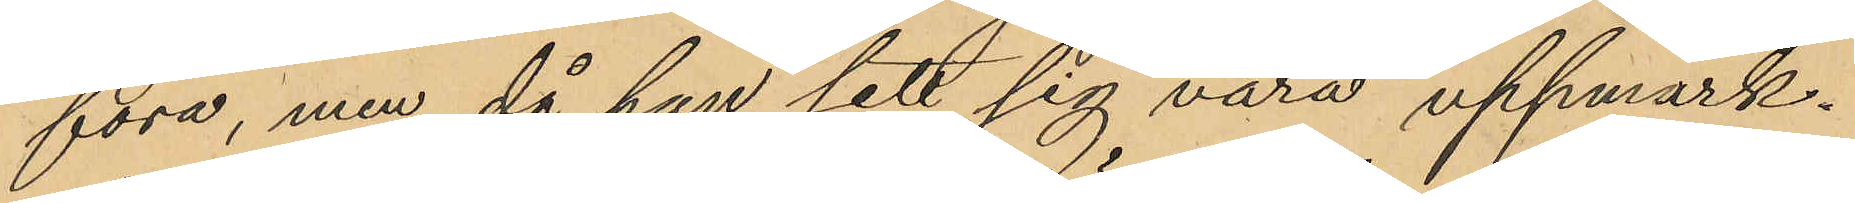föra, men då han sett sig vara uppmärk¬
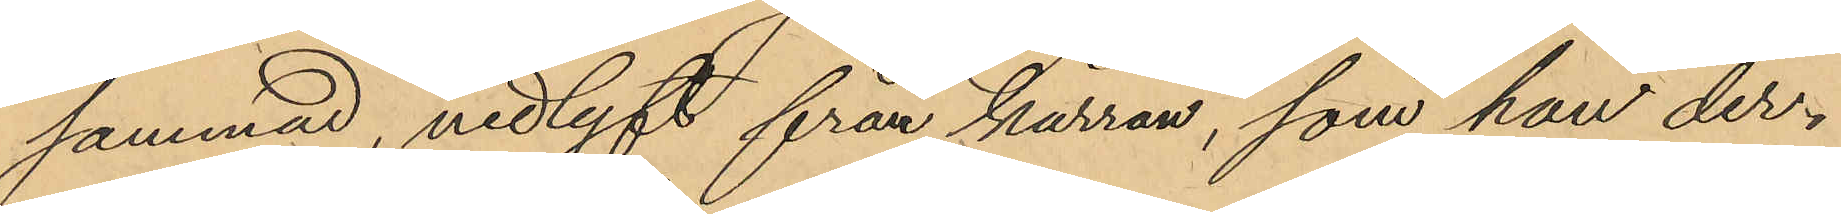sammad, nedlyft från kärran, som han der¬
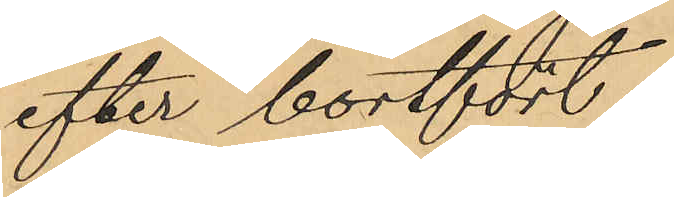efter bortfört.
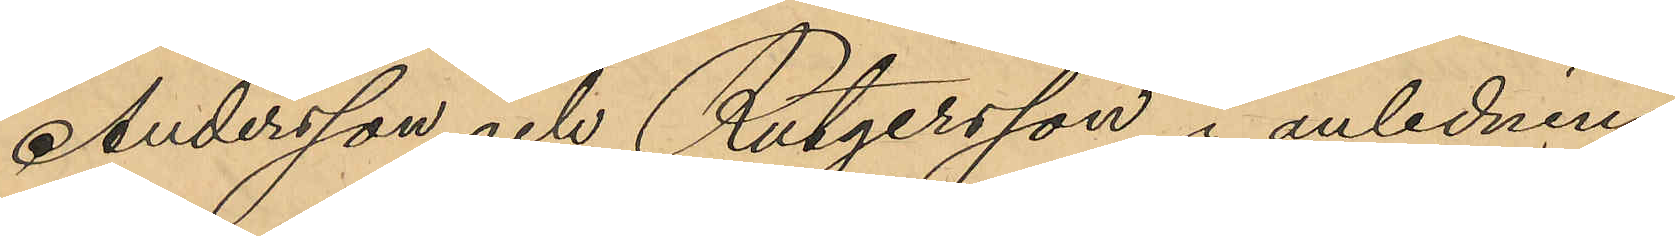Andersson och Rutgersson i anledning
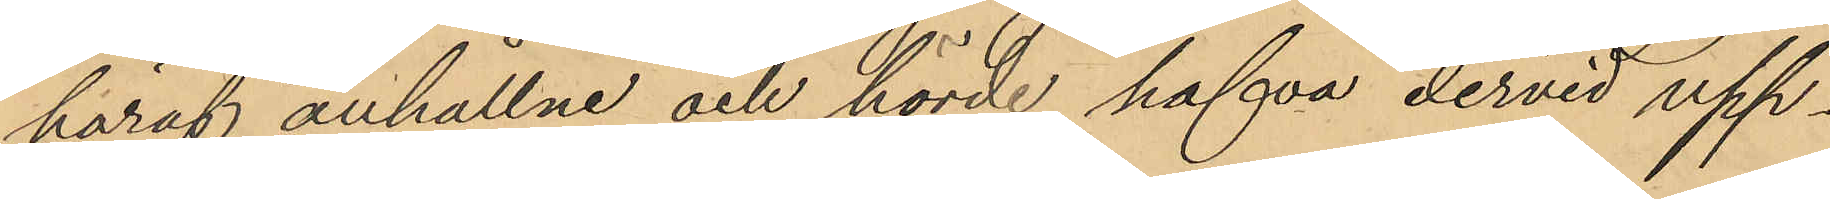häraf anhållne och hörde hafva dervid upp¬
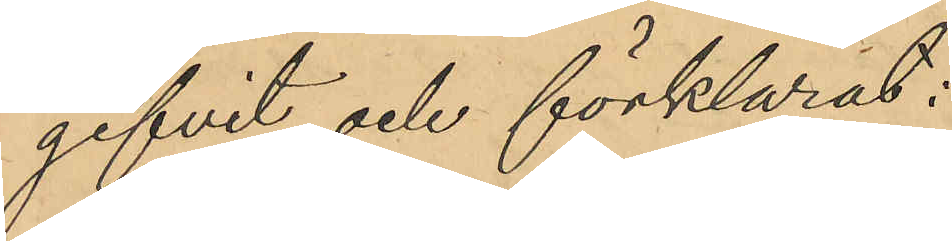gifvit och förklarat:
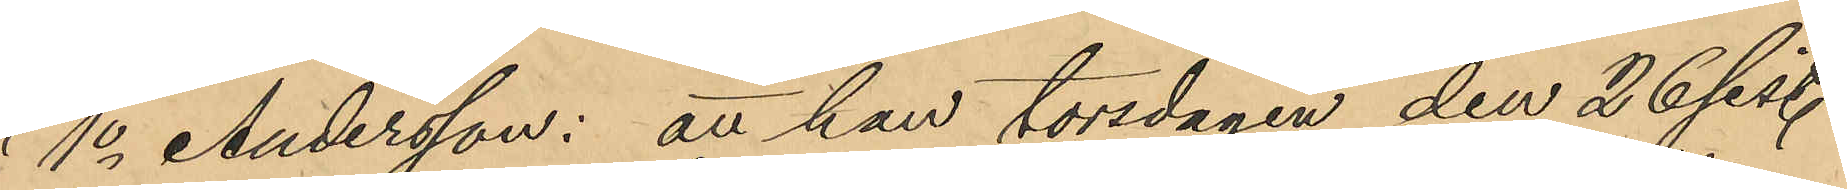1o Andersson: att han torsdagen den 26 sist.
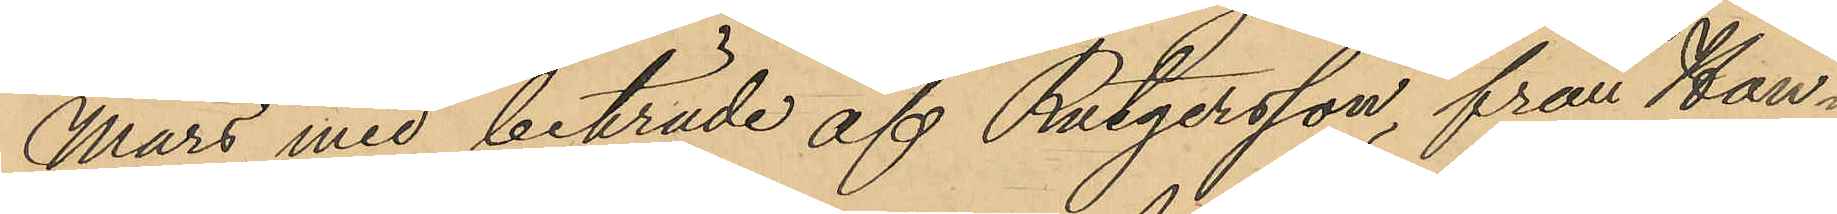Mars, med biträde af Rutgersson, från Han¬
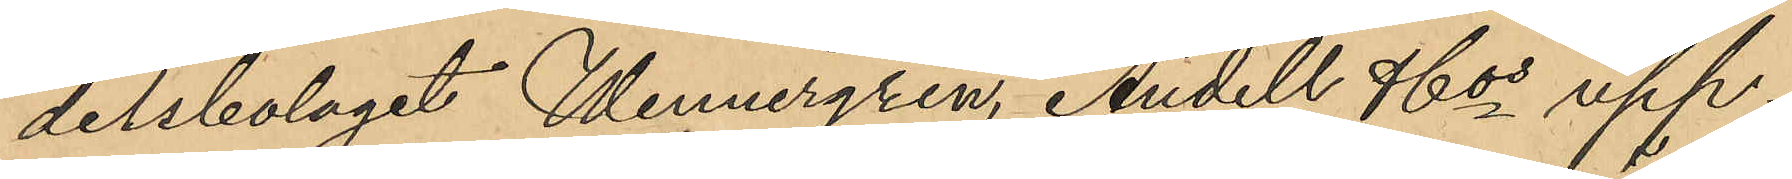delsbolaget Wennergren, Andell & Cos upp¬
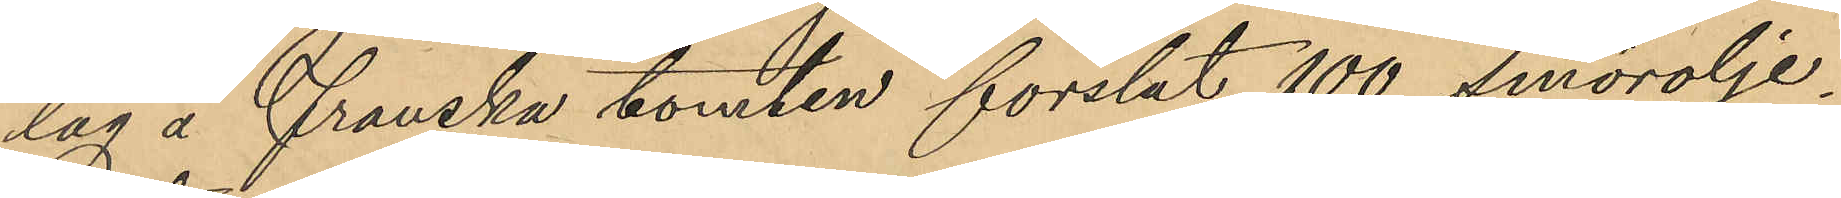lag, å franska tomten forslat 100 smörolje¬
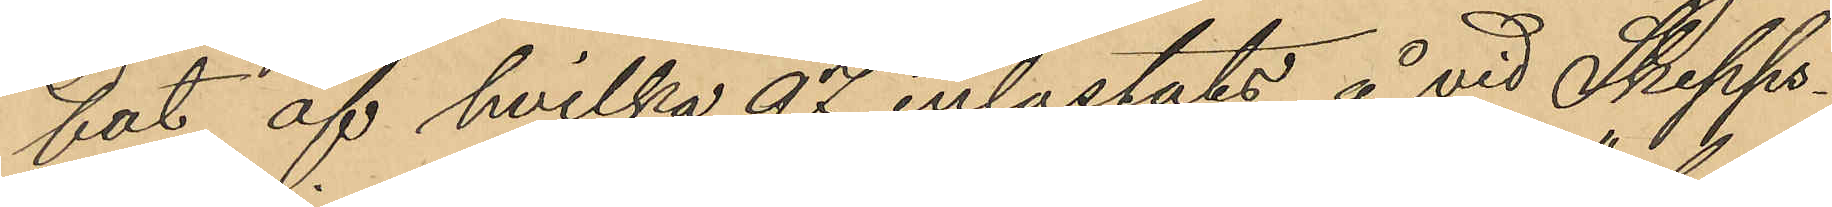fat af hvilka 97 inlastats å vid Skepps¬
